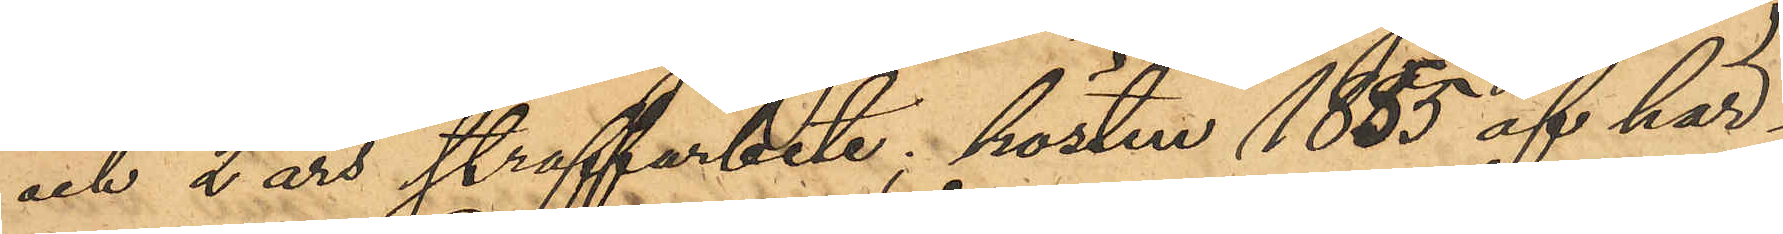och 2 års straffarbete,  hösten 1855 af här¬
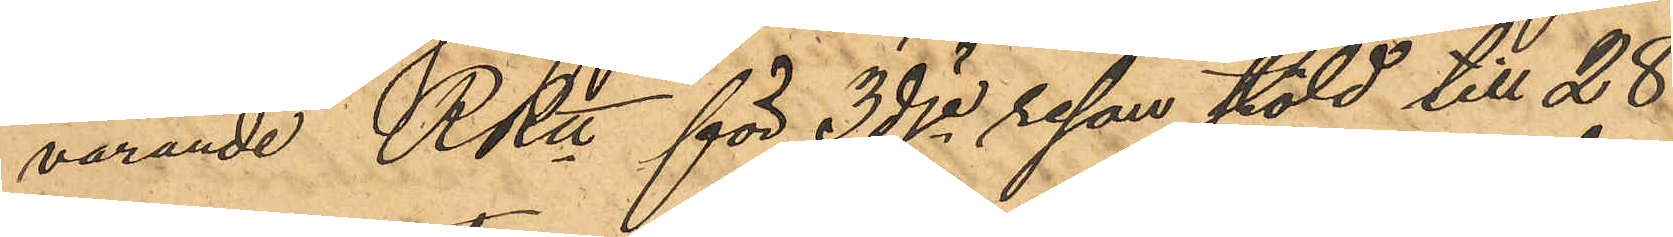varande RRtt för 3dje resan stöld till 28
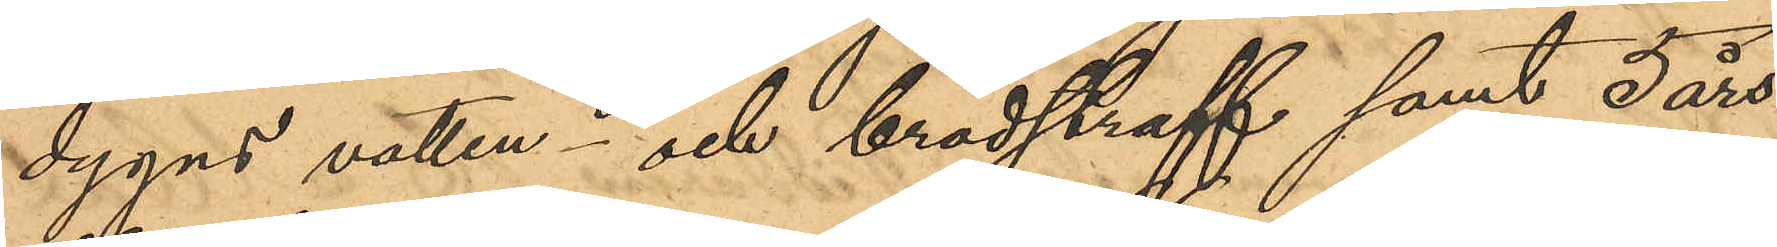dygns vatten- och brödstraff samt 5 års
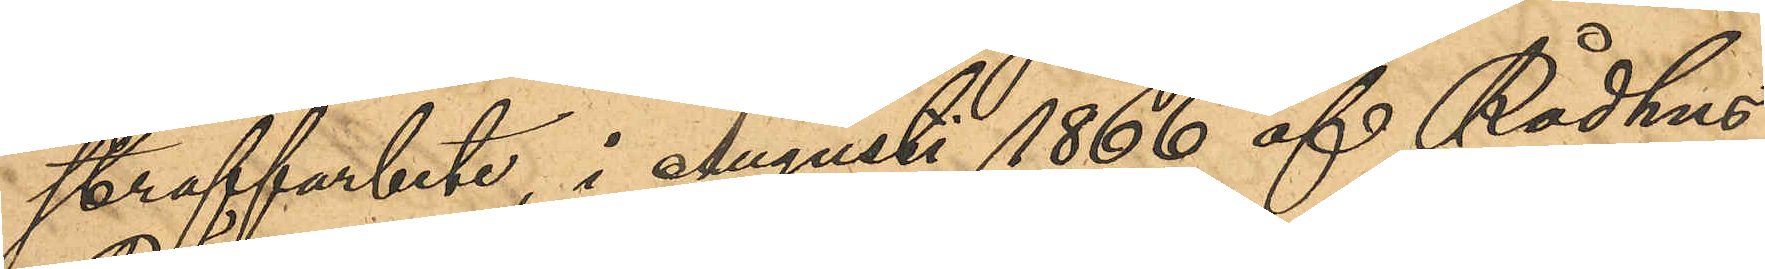straffarbete, i Augusti 1866 af Rådhus
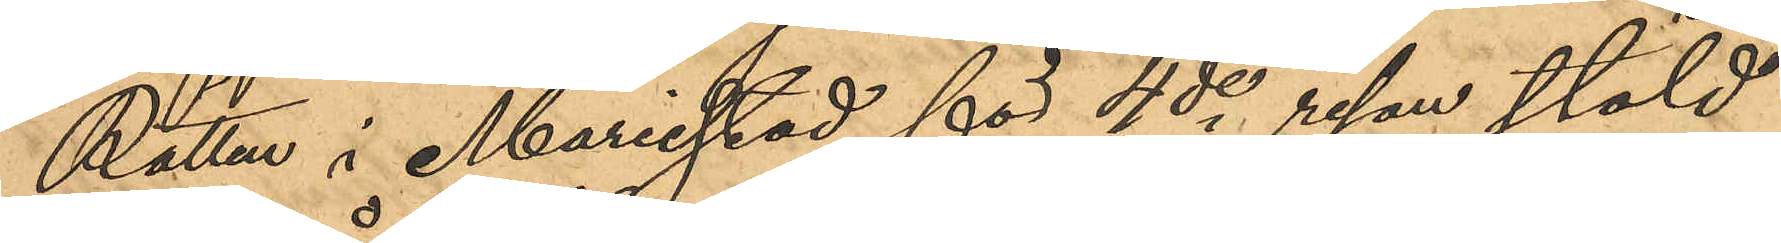Rätten i Mariestad för 4de resan stöld
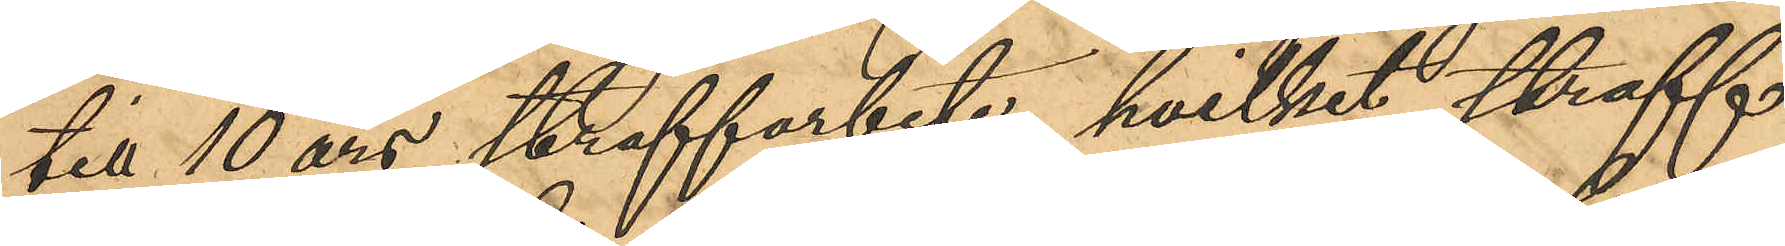till 10 års straffarbete, hvilket straff
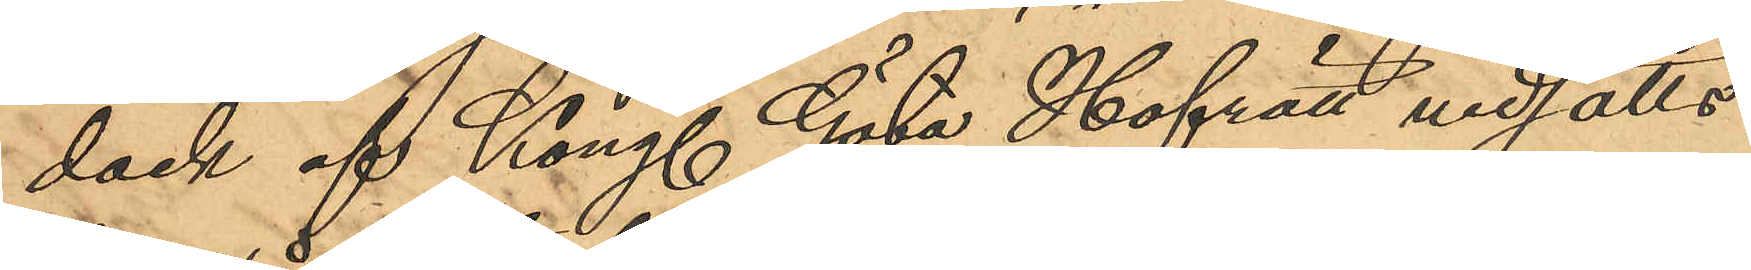dock af Kongl. Göta Hofrätt nedatts
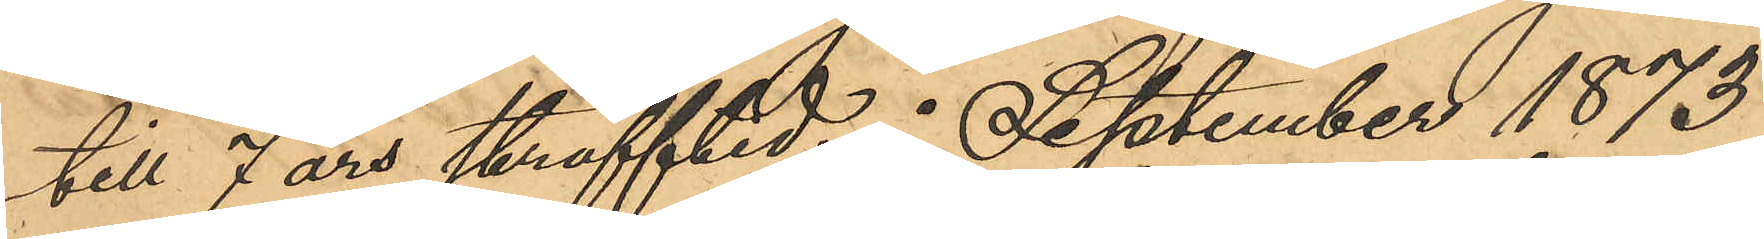till 7 års strafftid; i September 1873
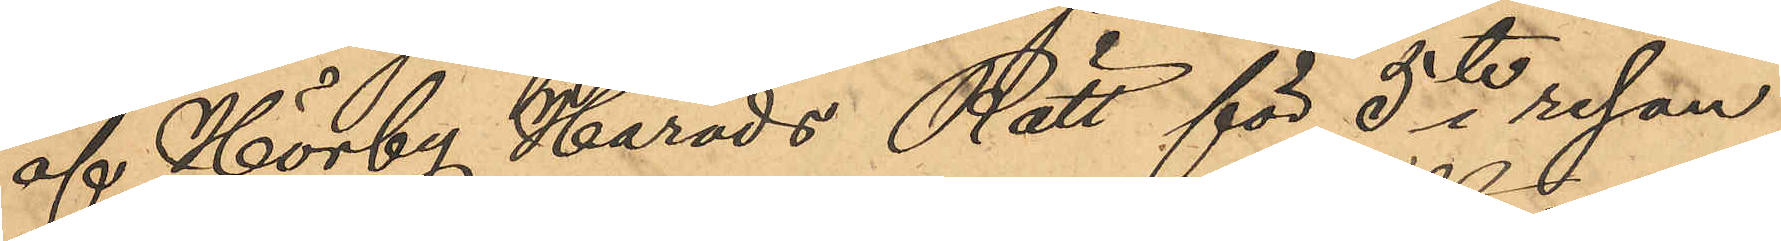af Hörby Härads Rätt för 5te resan
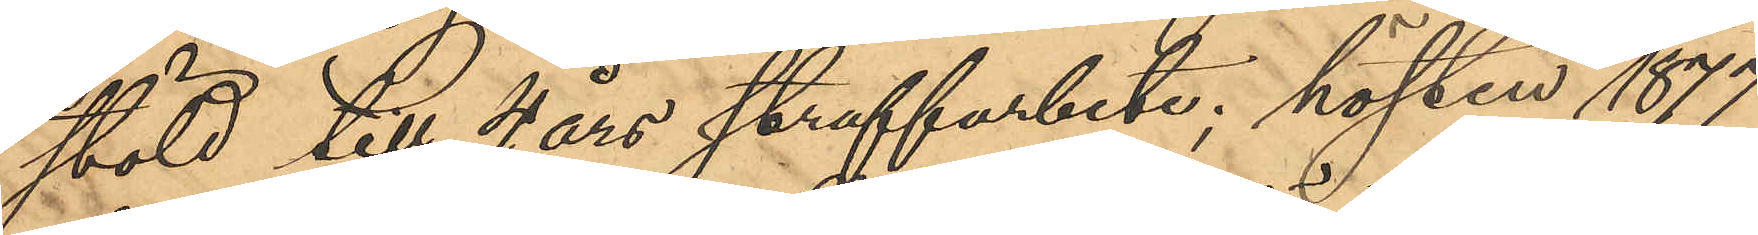stöld till 4 års straffarbete; hösten 1877
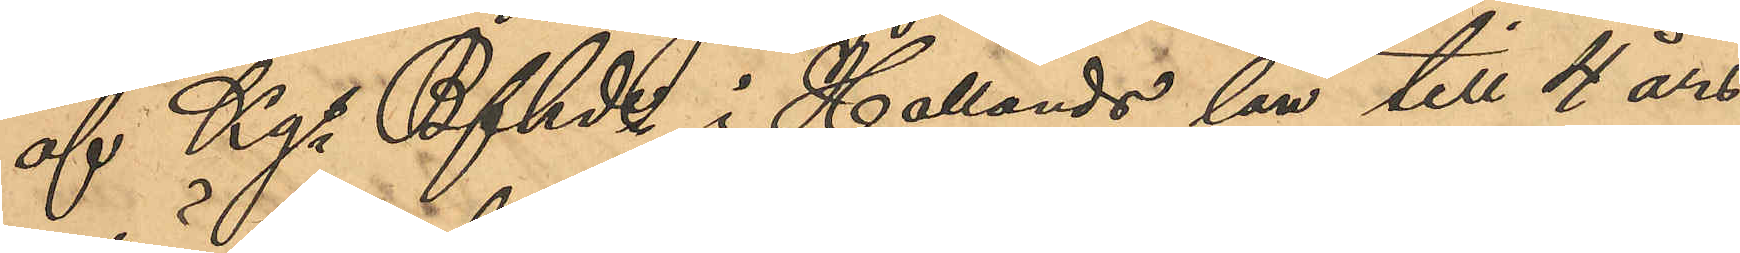af Kgs Bfhd i Hallands län till 4 års
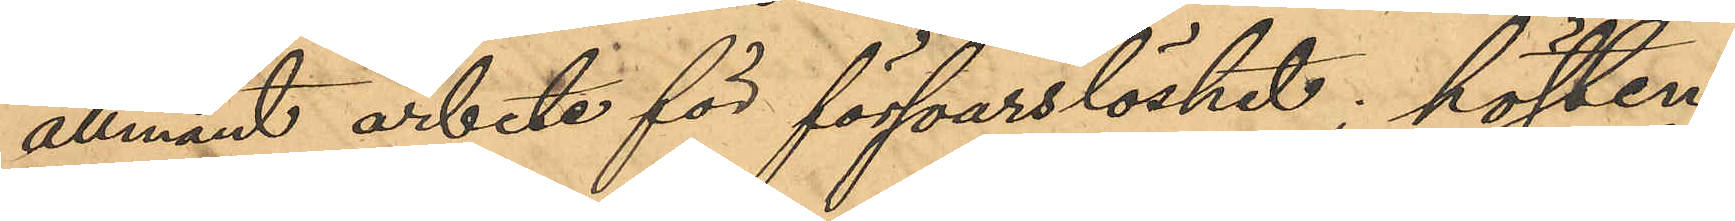allmänt arbete för försvarslöshet; hösten
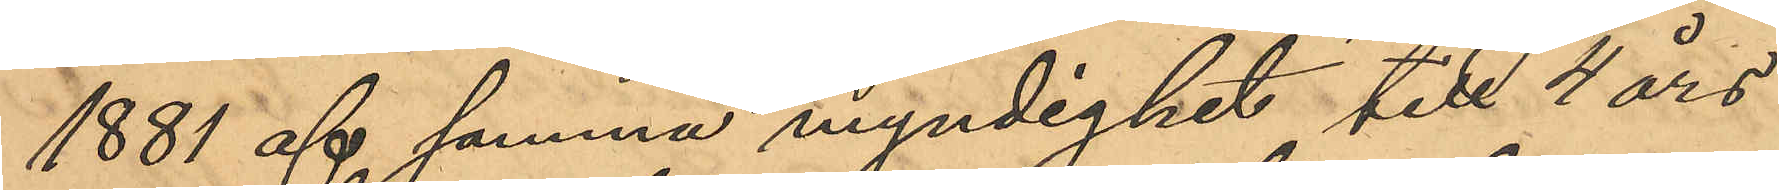1881 af samma myndighet till 4 års
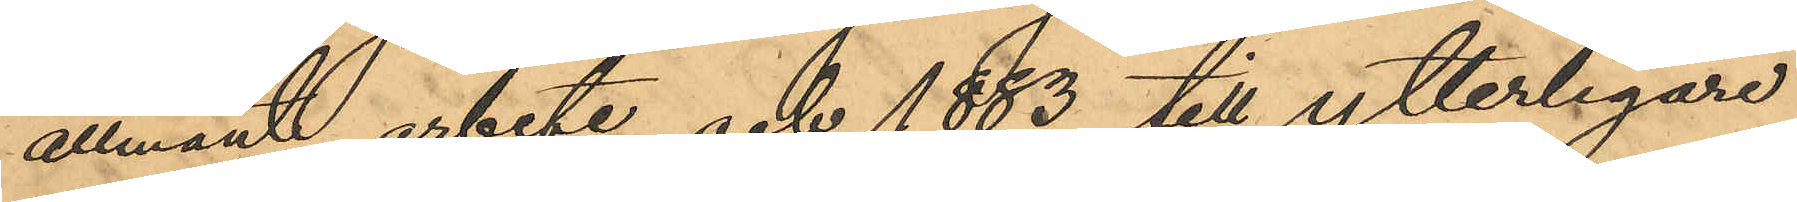allmänt arbete och 1883 till ytterligare
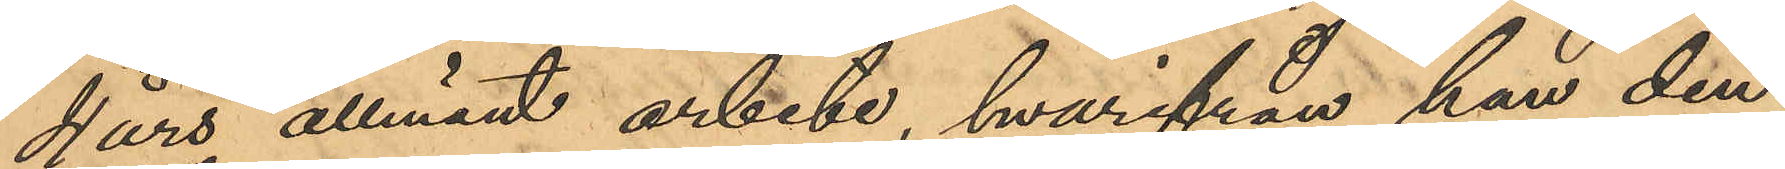4 års allmänt arbete, hvarifrån han den
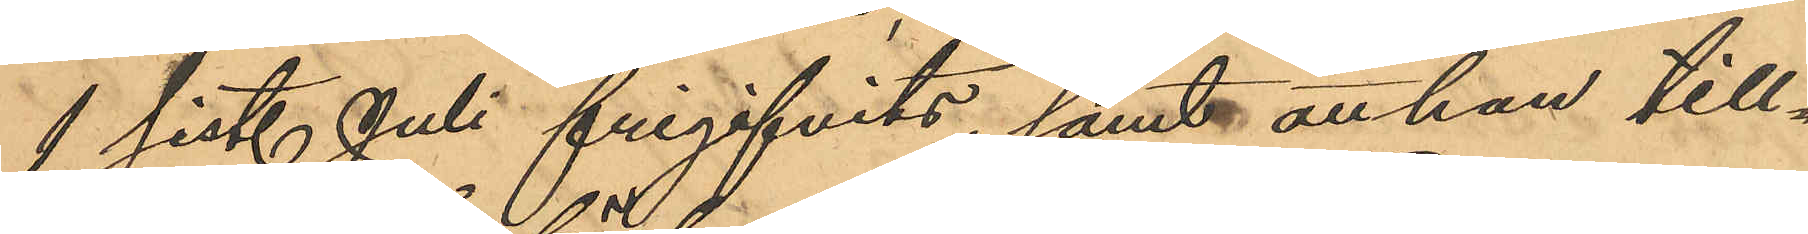1 sist. Juli frigifvits; samt att han till¬
